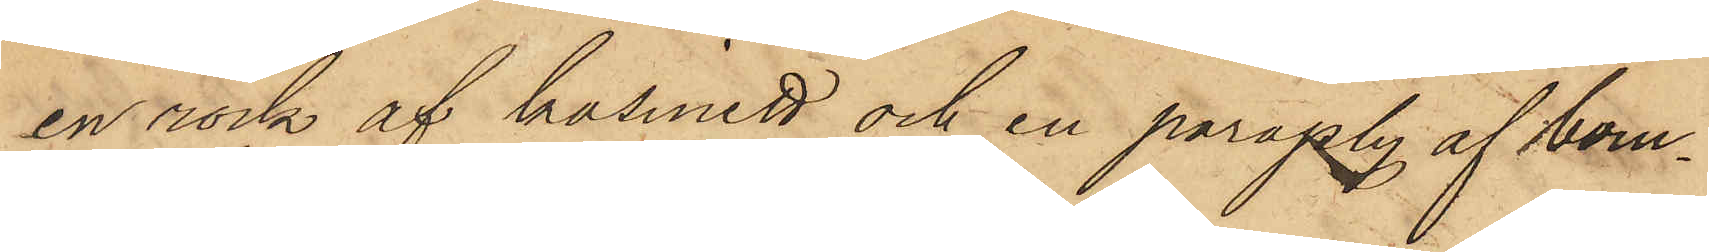en rock af kasinett och en paraply af bom¬
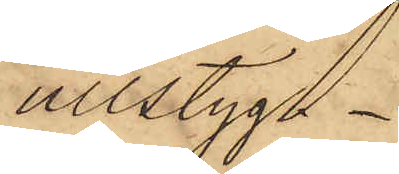ullstyg.
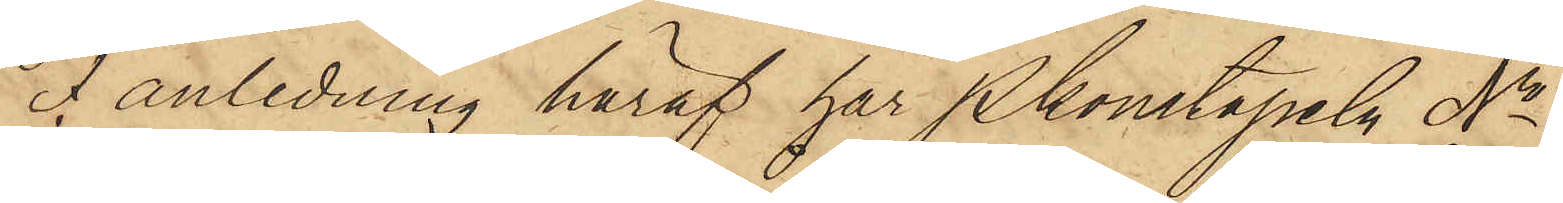I anledning häraf har Pkonstapeln No
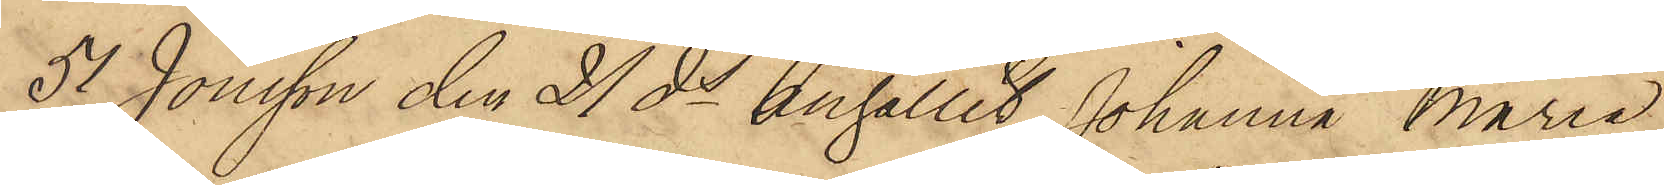51 Jönsson den 21 ds anhållit Johanna Marie
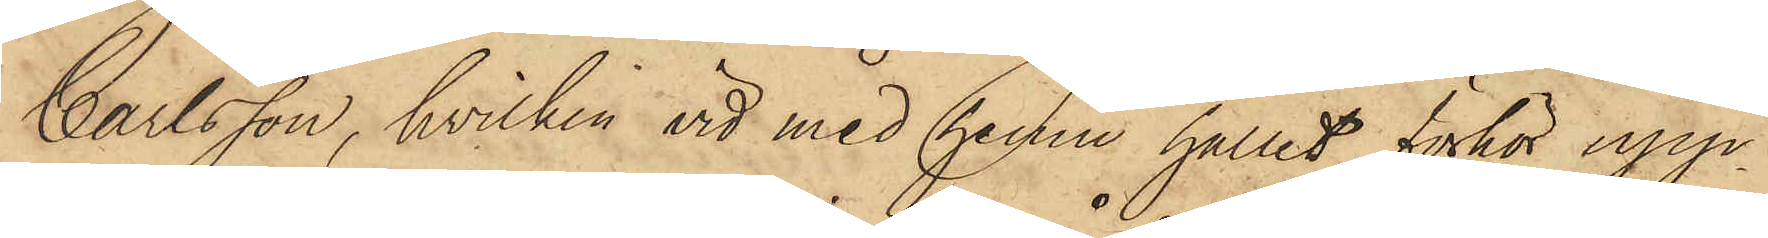Carlsson, hvilken vid med henne hållit förhör upp¬
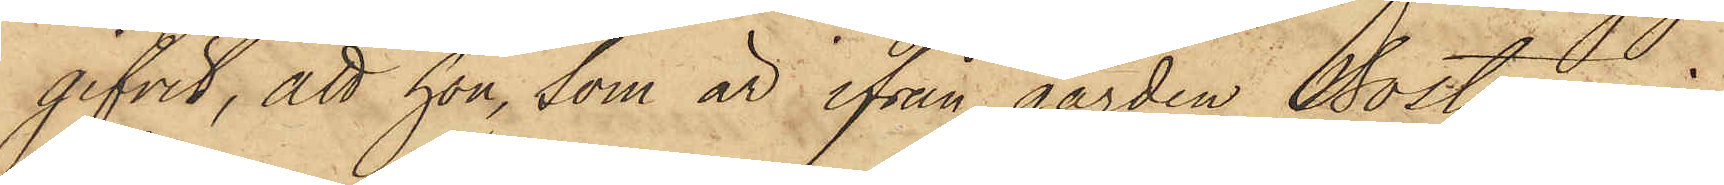gifvit, att hon, som är ifrån gården Bostorp i 
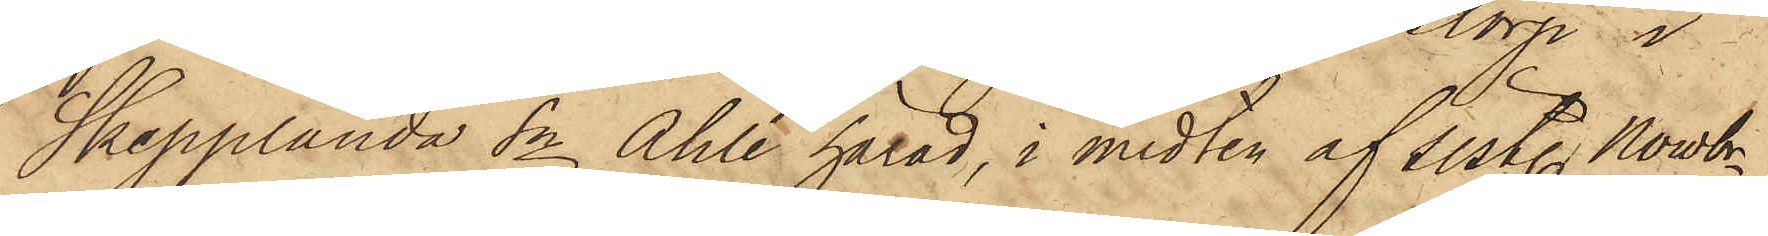Skepplanda Sn Ahle härad, i midten af sistl. Nowbr
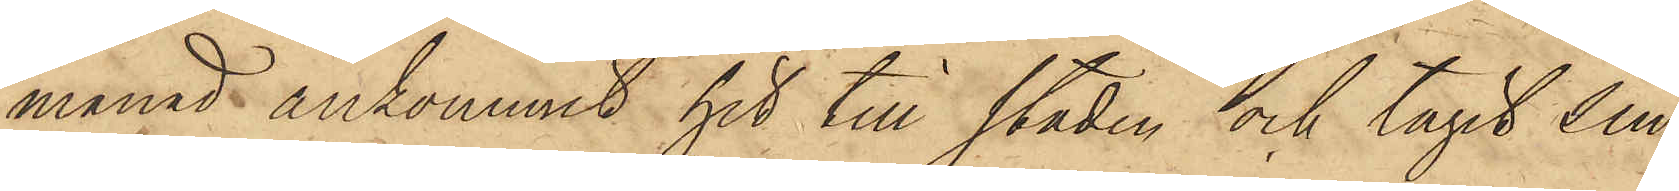månad ankommit hit till staden och tagit sin
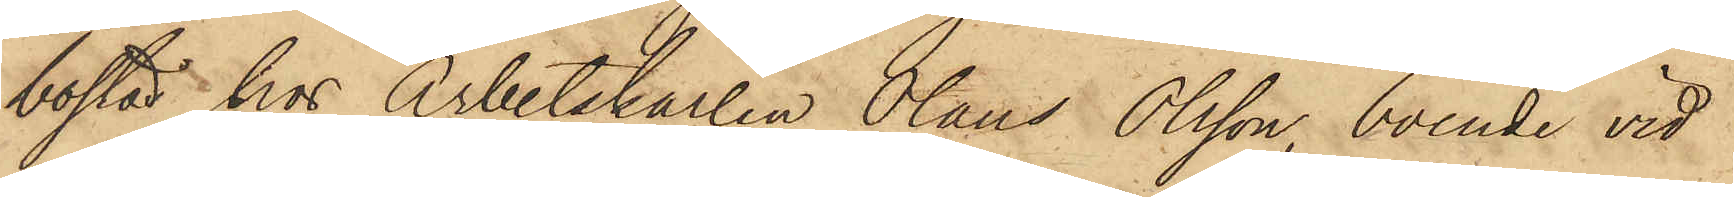bostad hos Arbetskarlen Olaus Olsson, boende vid
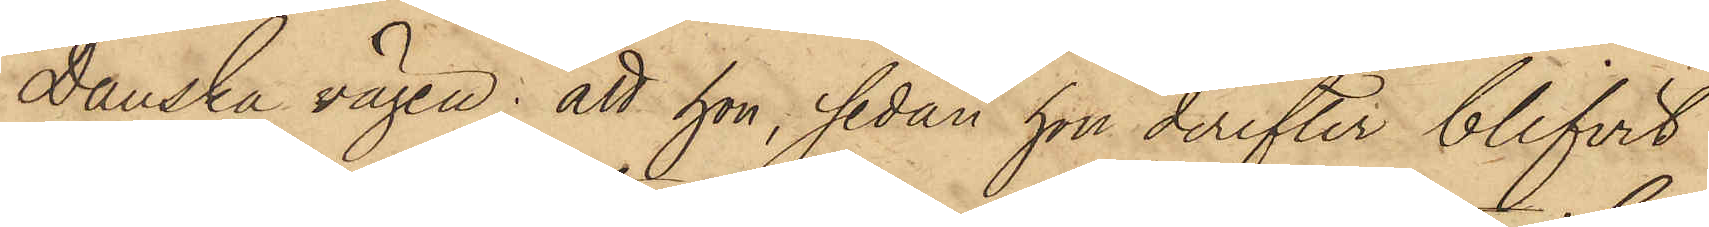Danska vägen; att hon, sedan hon derefter blifvit
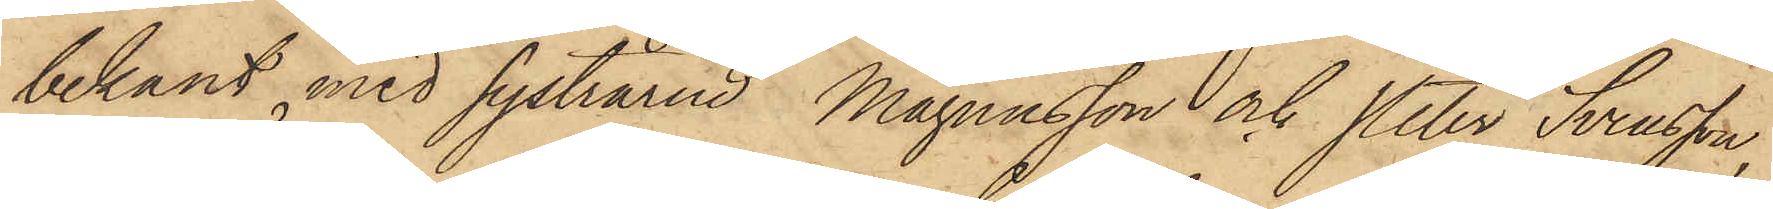bekant med systrarne Magnusson och Peter Svensson,
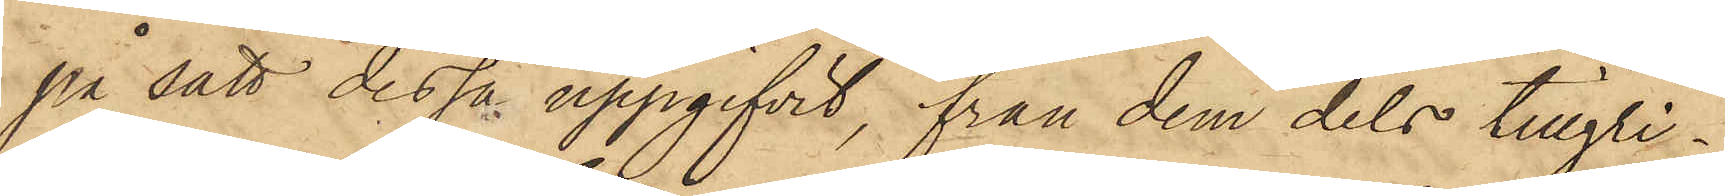på sätt dessa uppgifvit, från dem dels tillgri¬
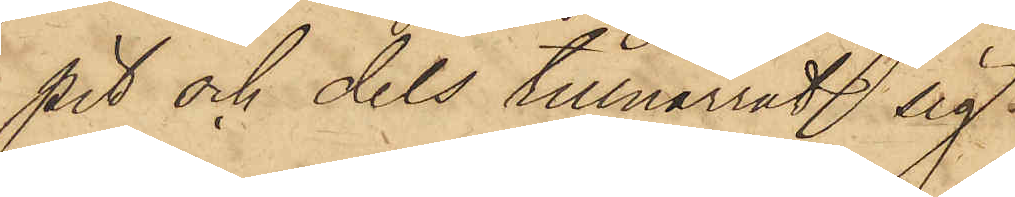pit och dels tillnarrat sig
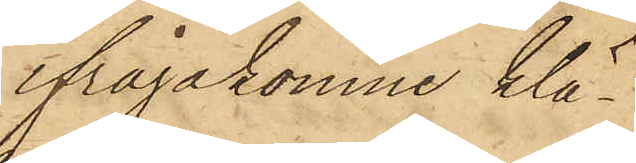ifrågakomne klä¬
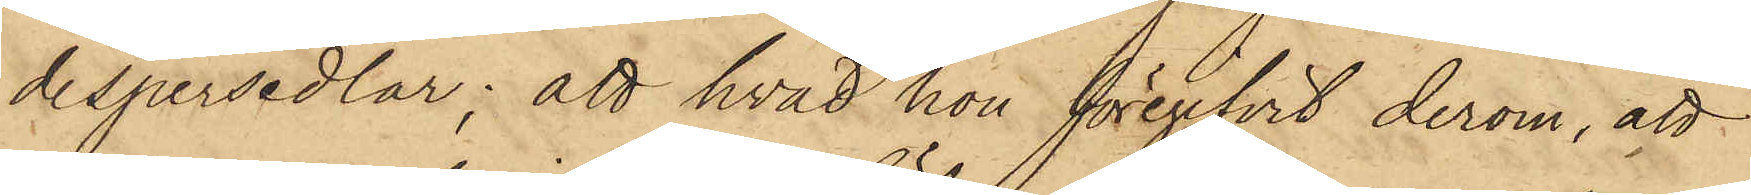despersedlar; att hvad hon föregifvit derom, att
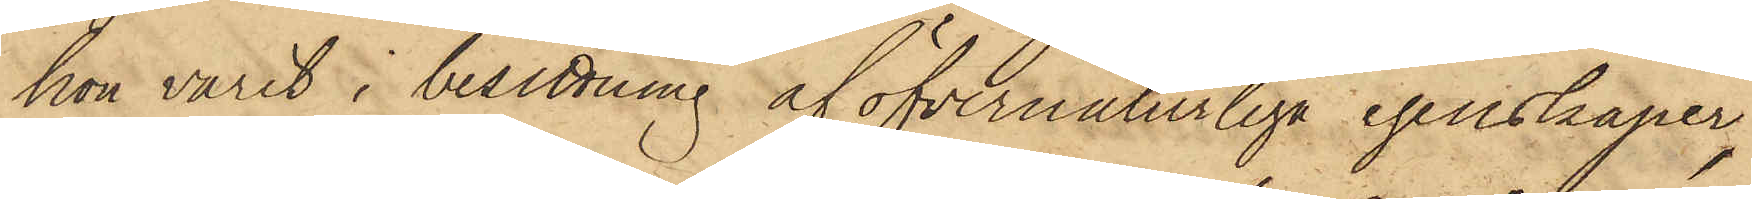hon varit i besittning af öfvernaturliga egenskaper,
